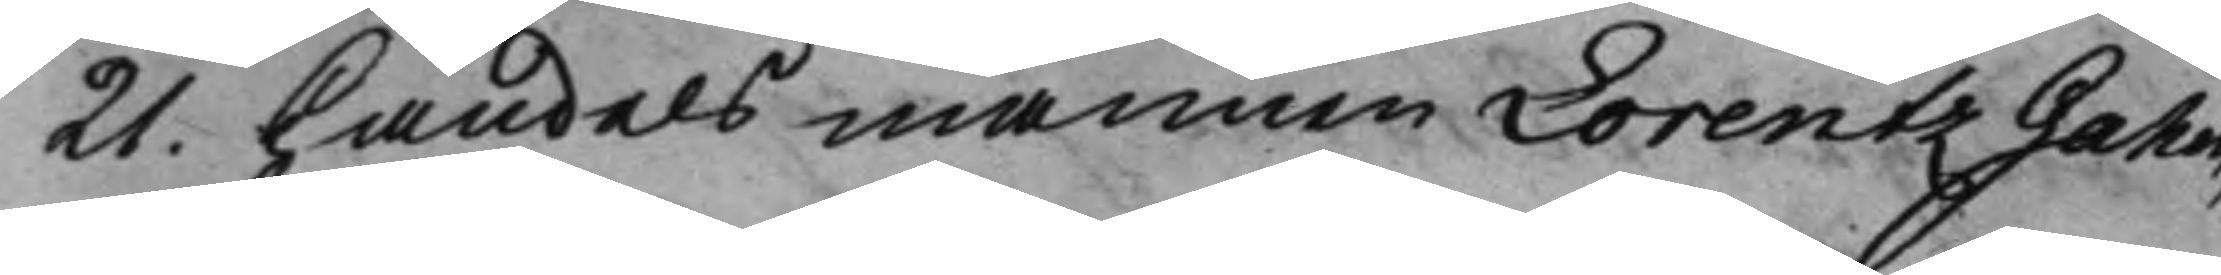21. Handelsmannen Lorentz Gahm,
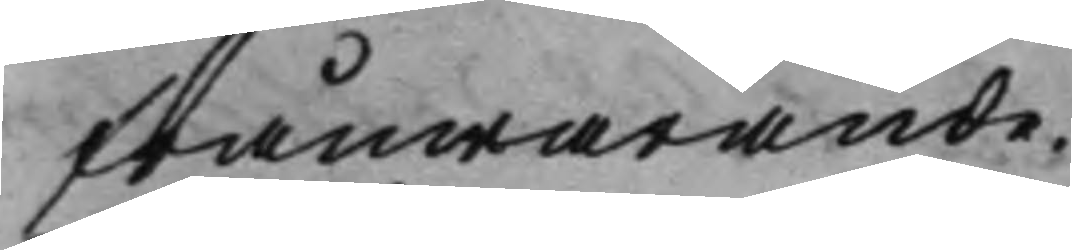frånwarande.
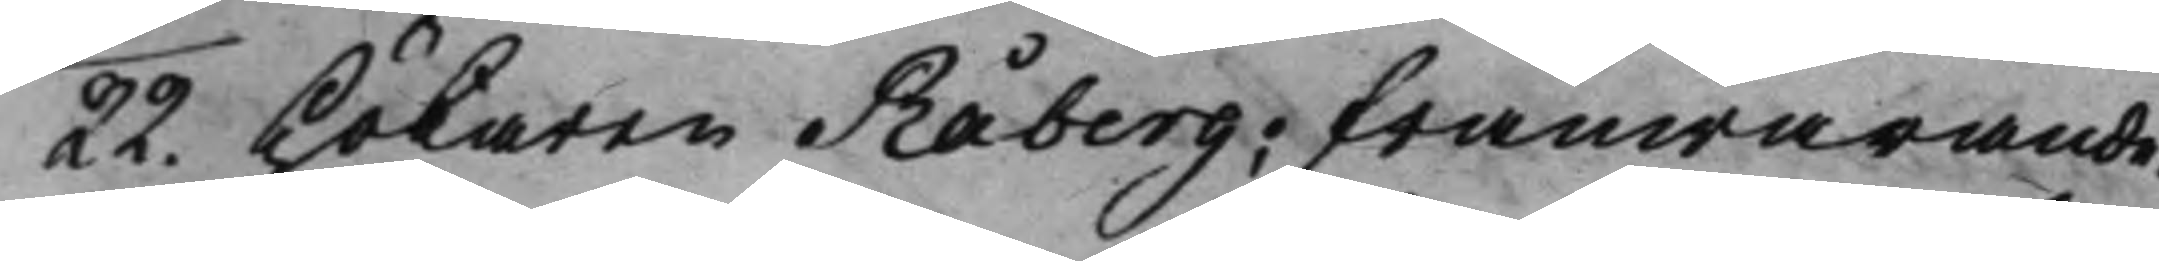22. Hökaren Råberg; frånwarande.
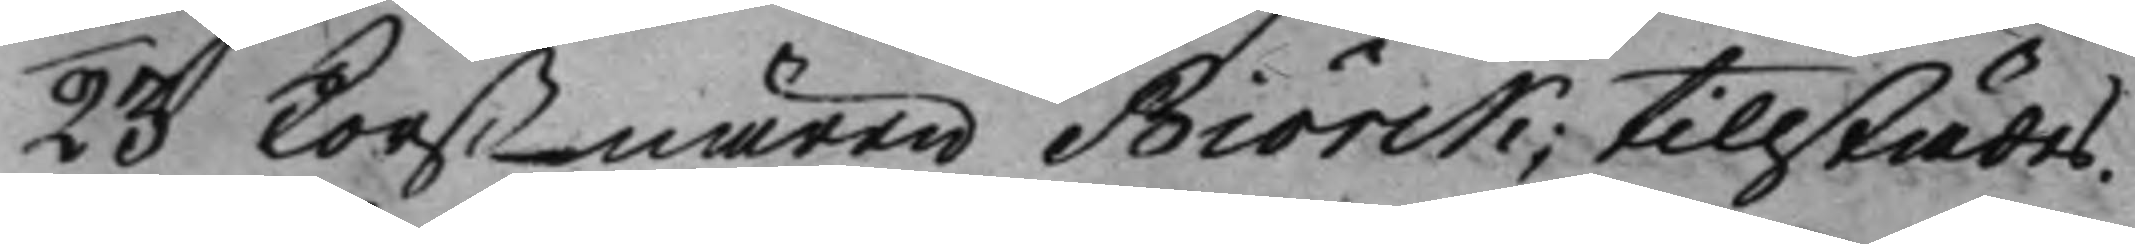23 Korsnären Biörck; tillstädes.
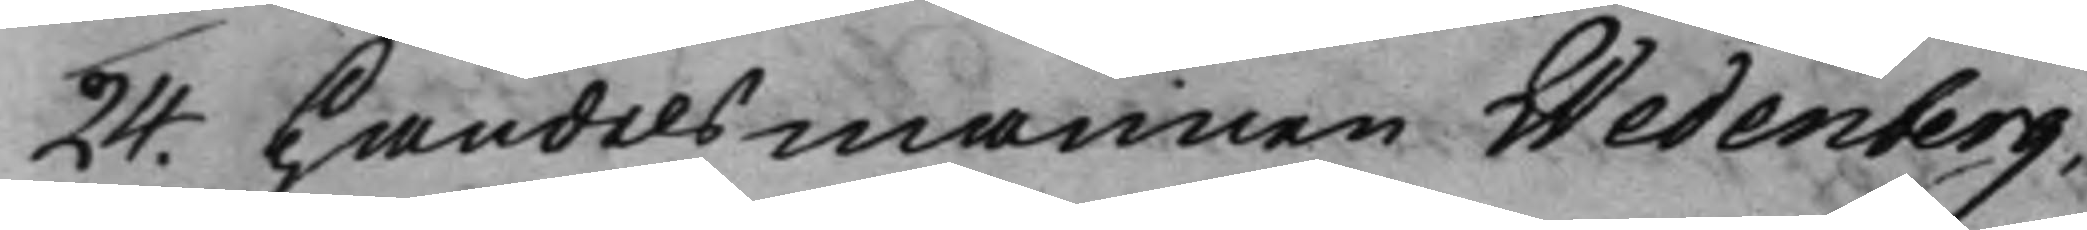24. Handelsmannen Wedenberg;
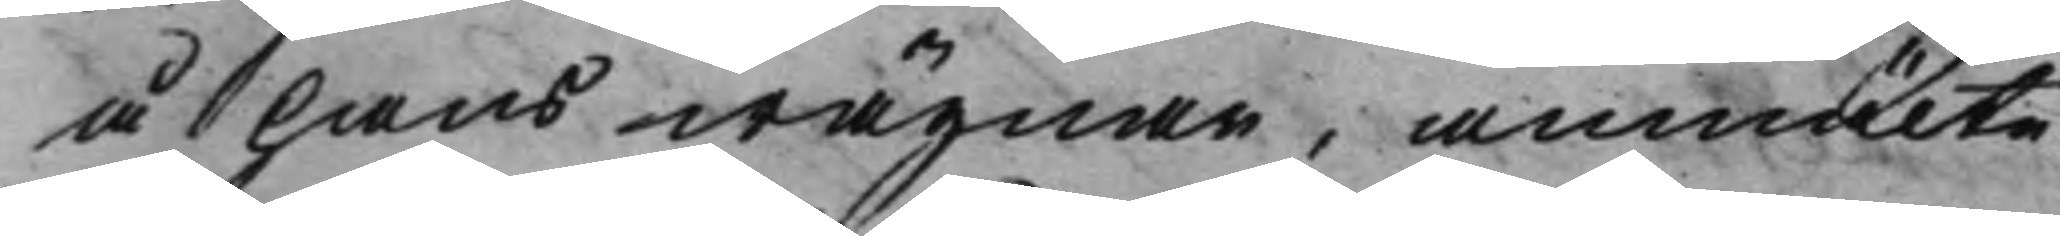å hans wägnar, anmälte
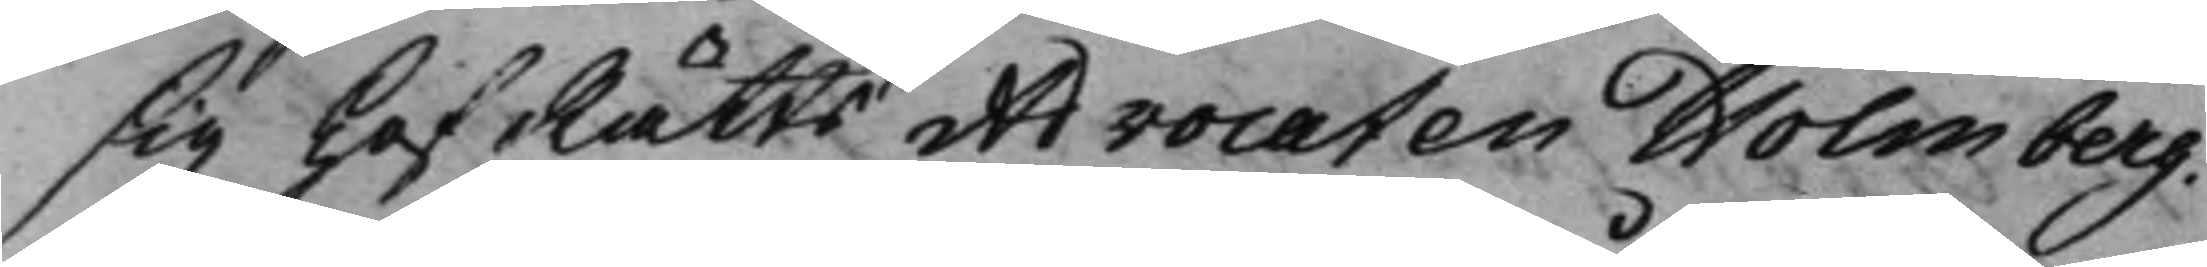sig HofRätts Advocaten Holmberg.
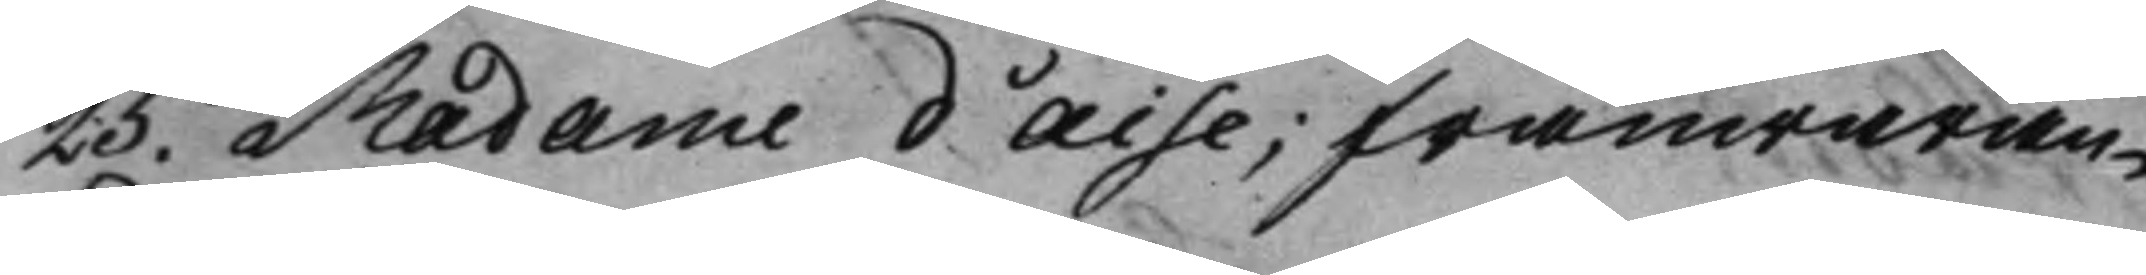25. Madame d'Aise; frånwaran¬ 
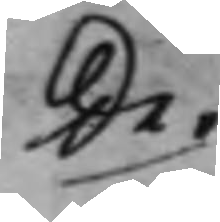de.
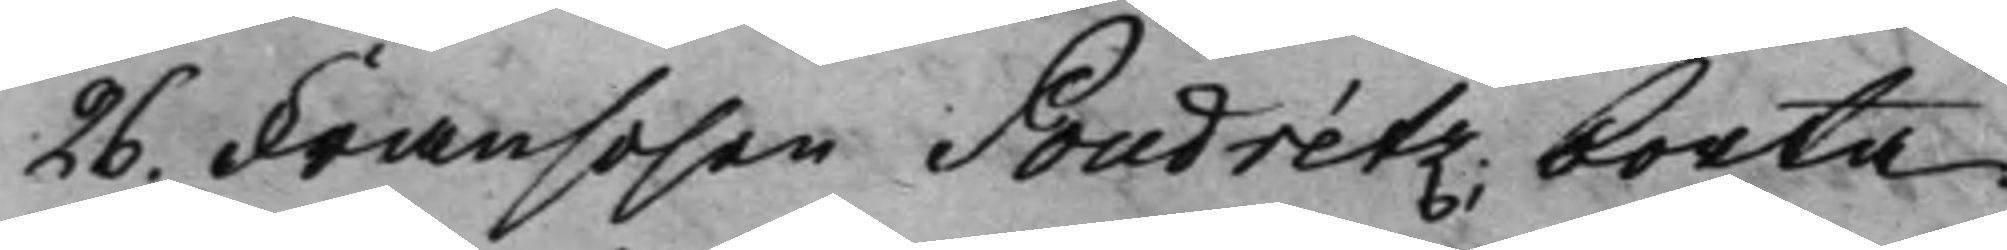26. Fransosen Poudrétz; borta
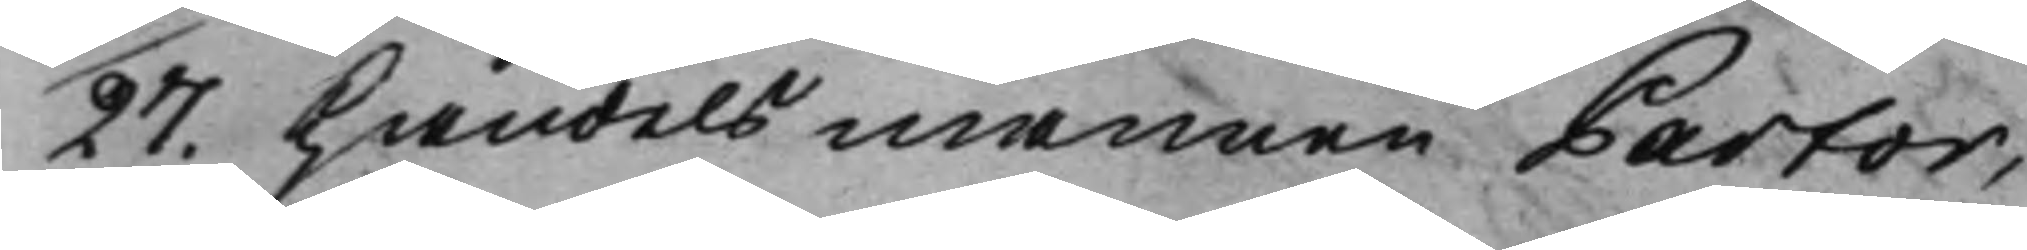27. Handelsmannen Pastor,
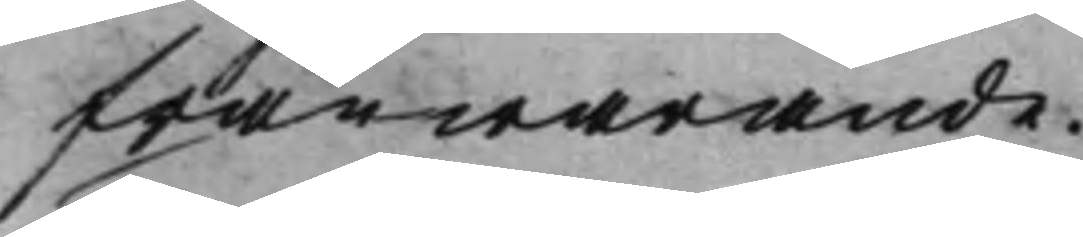frånwarande.
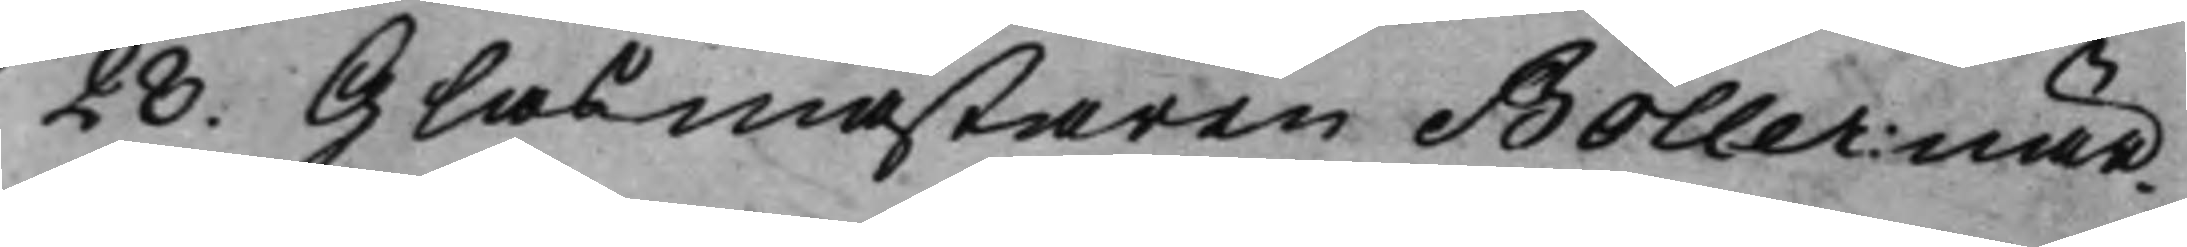28. Glasmästaren Böller: när¬
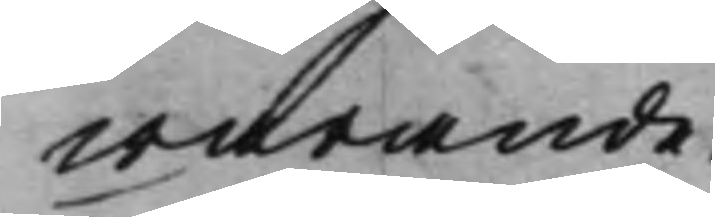warande.
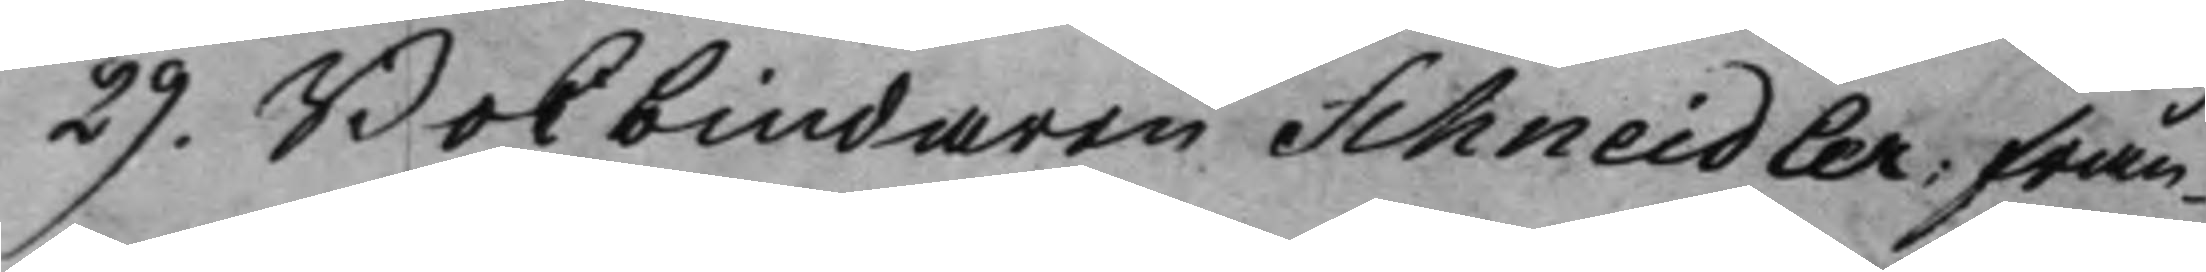29. Bokbindaren Schneidler; från¬
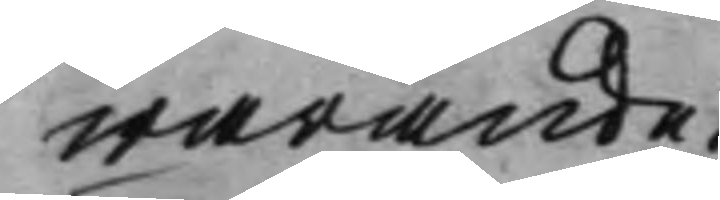warande.
